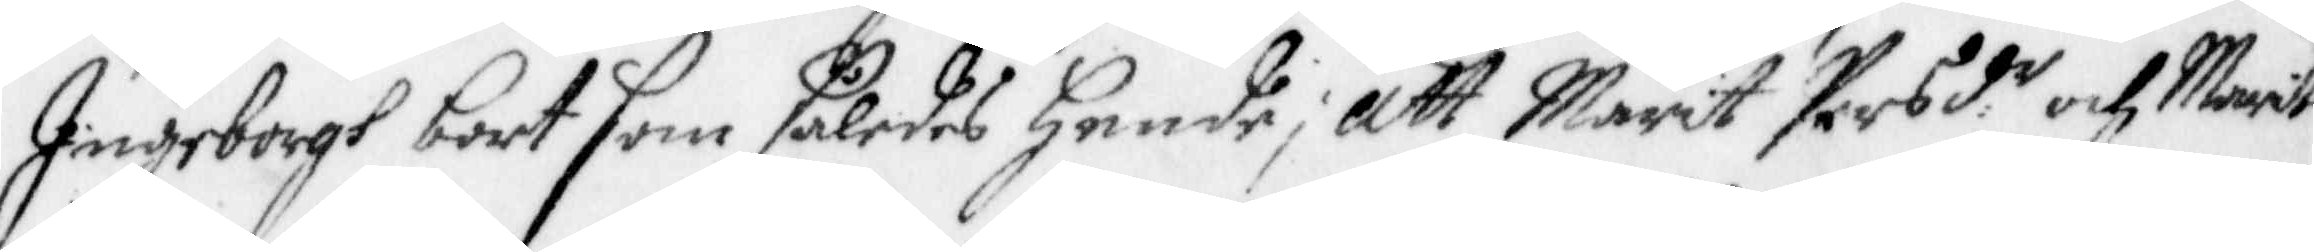Ingeborgh bort som således Hende; att Marit Persd.r och Marit
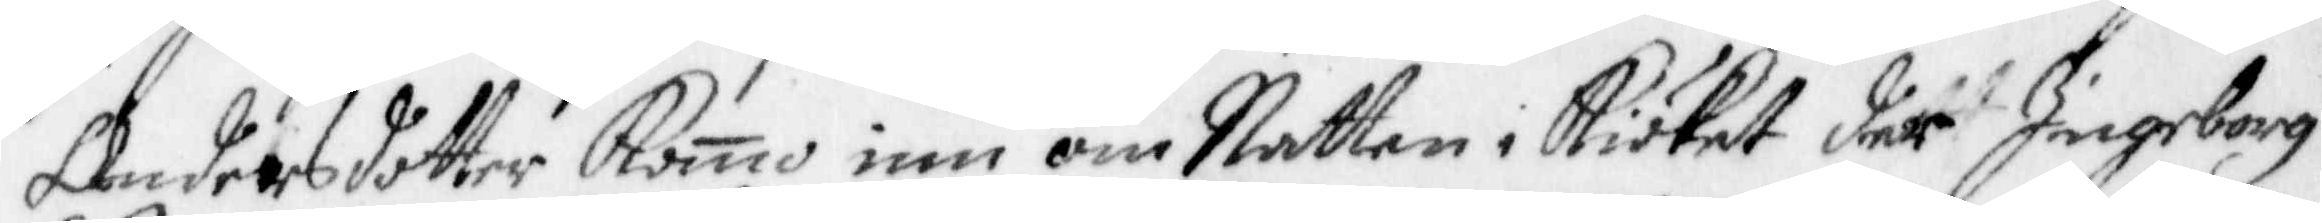Andersdotter Komo inn om Natten i Kiöket där Ingeborg
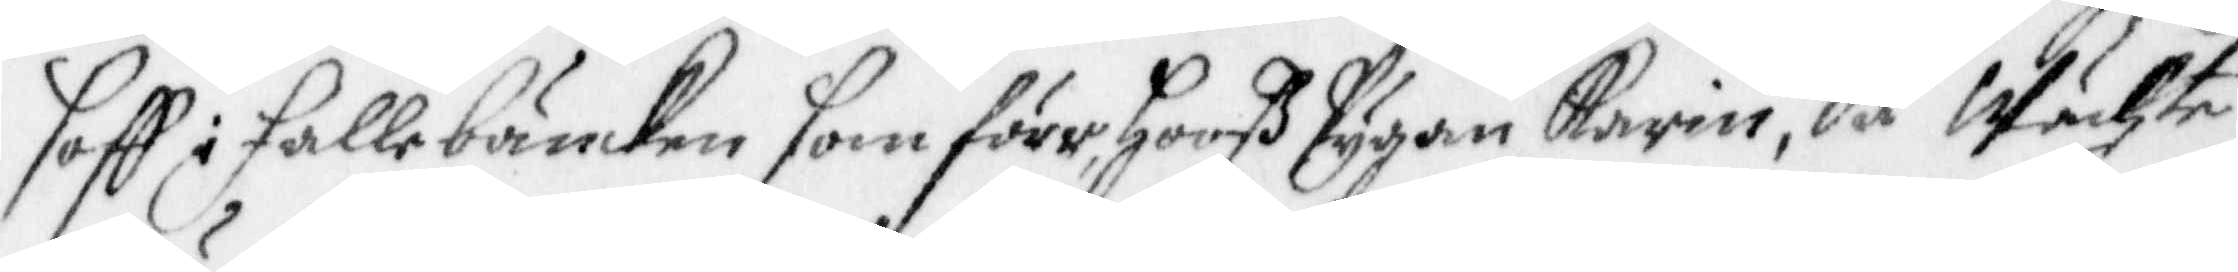soff i Falle bänken som förr hooß pygan Karin, då Wächte
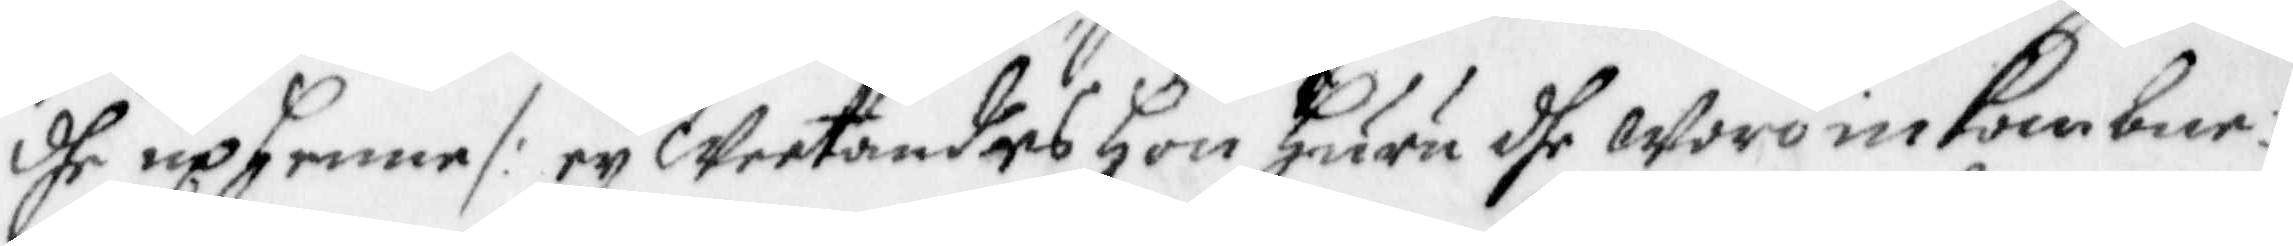dhe up henne /: ey Weetandes hon huru dhe woro inkombne:/
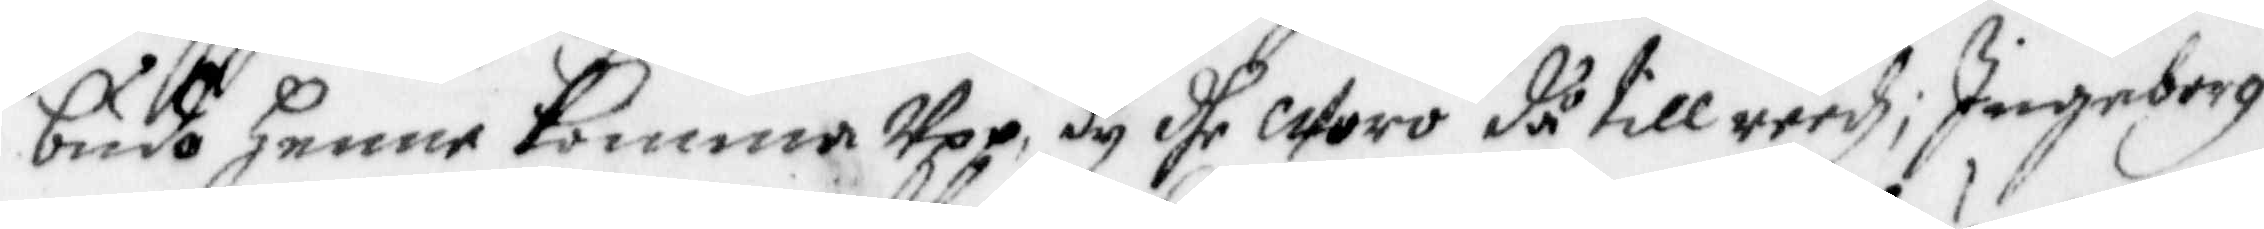budo henne komma Upp, dy dhe woro då till reedz; Ingeborg
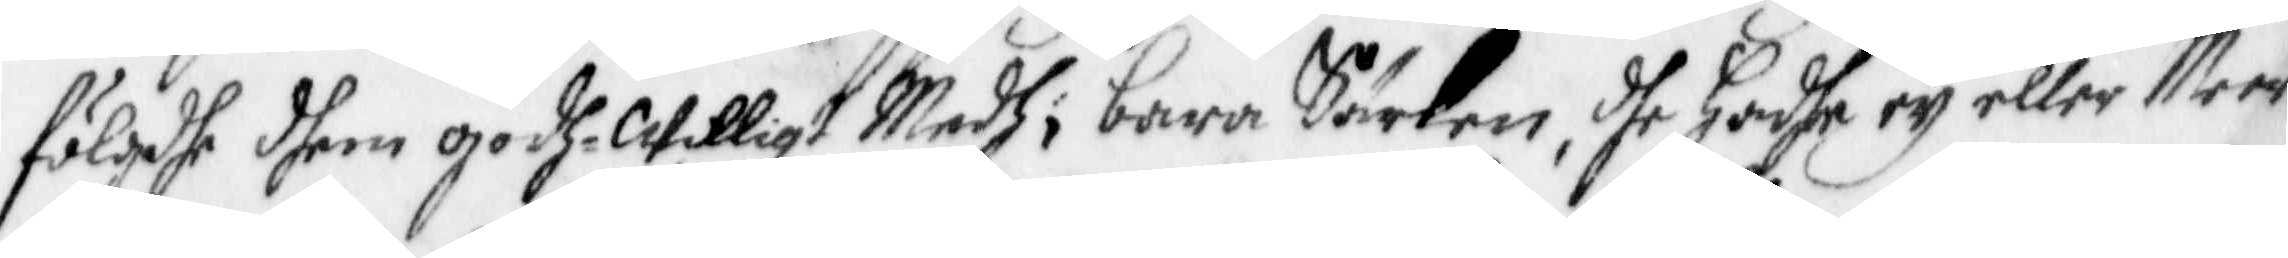fölgdhe dhem godhe Willigt Medh i bara Särken, dhe hadhe ey eller Meer
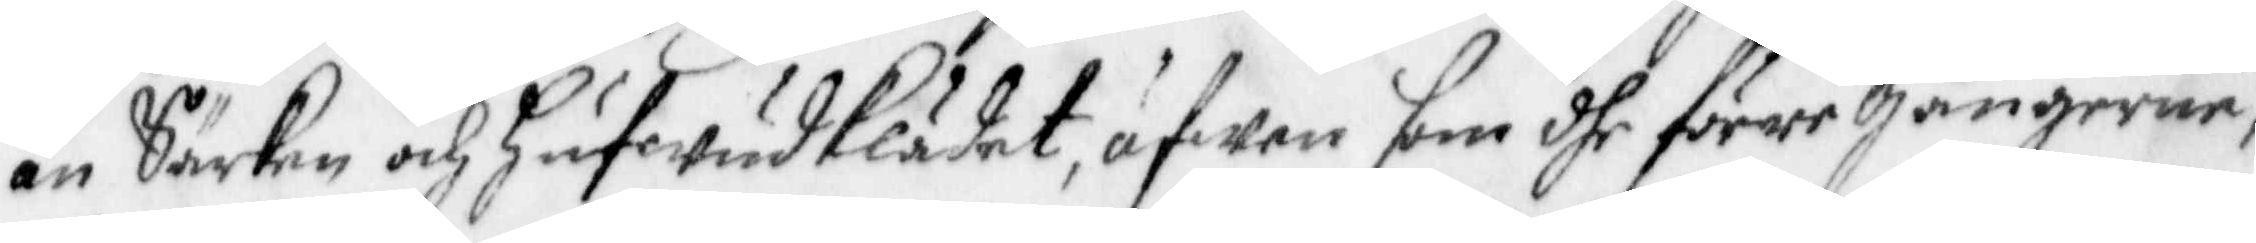än Särken och hufwudKlädet, äfwen som dhe förre gångerne;
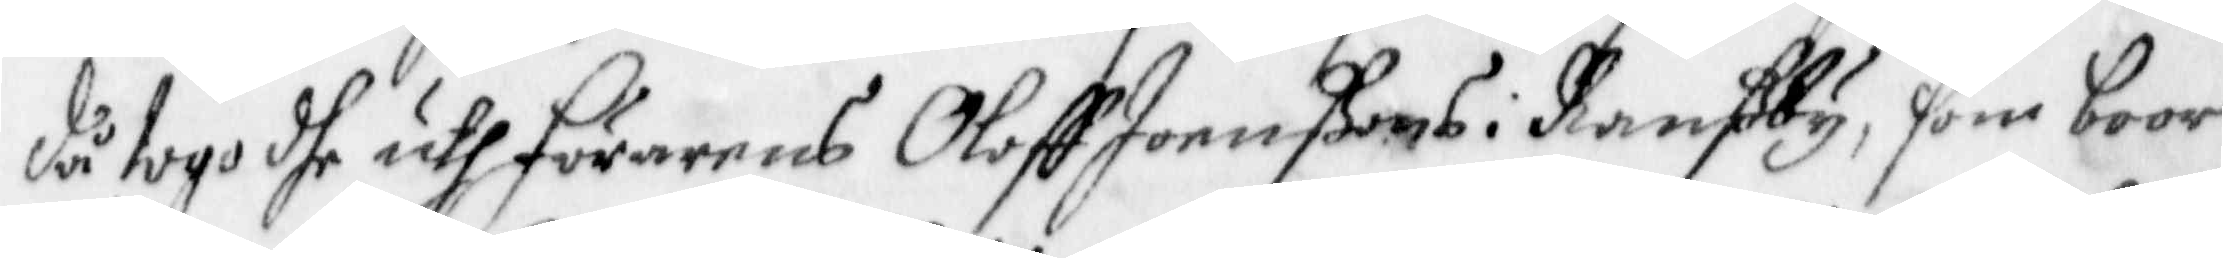då togo dhe uth förarens Oloff Joenßons i Ranßby, som boor
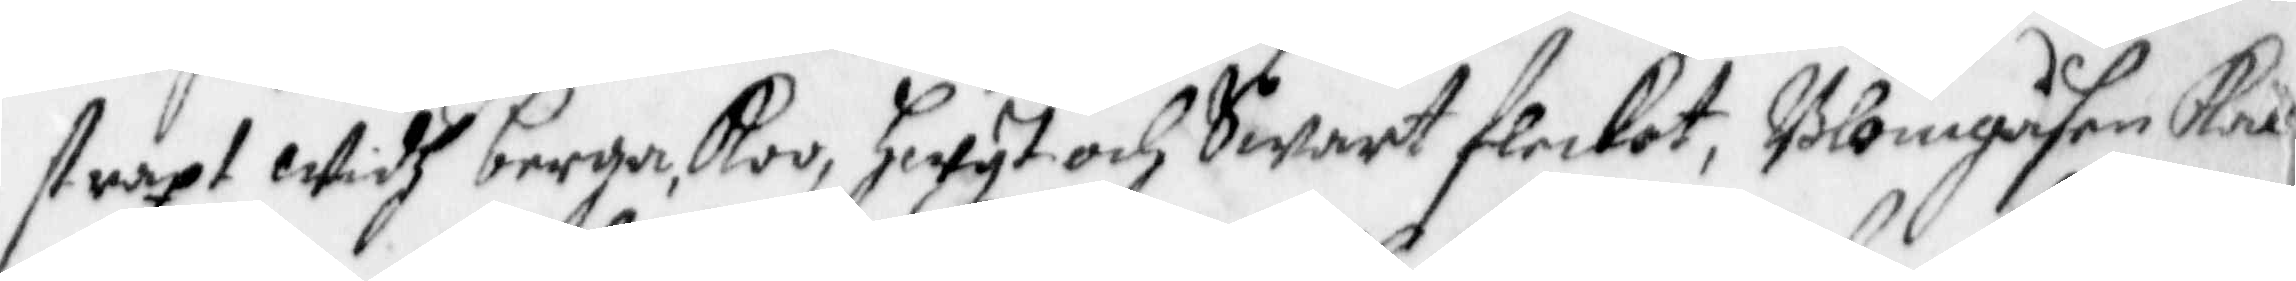straxt Widh berga, Koo, hwyt och Swart flecket, Blomgåsen Ka¬
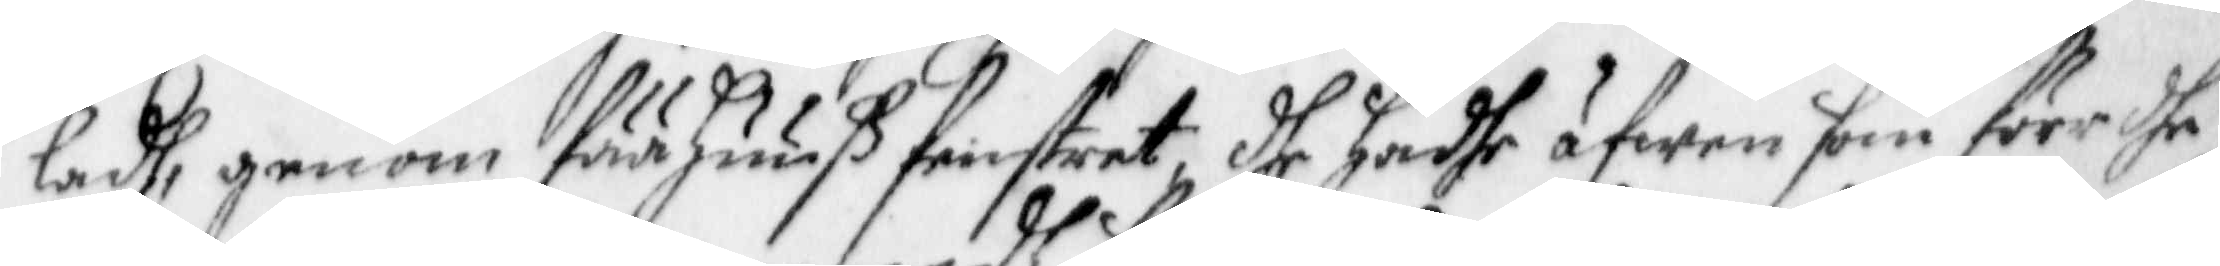ladh, genom fää huuß fönstret, dhe hadhe äfwen som före dhe
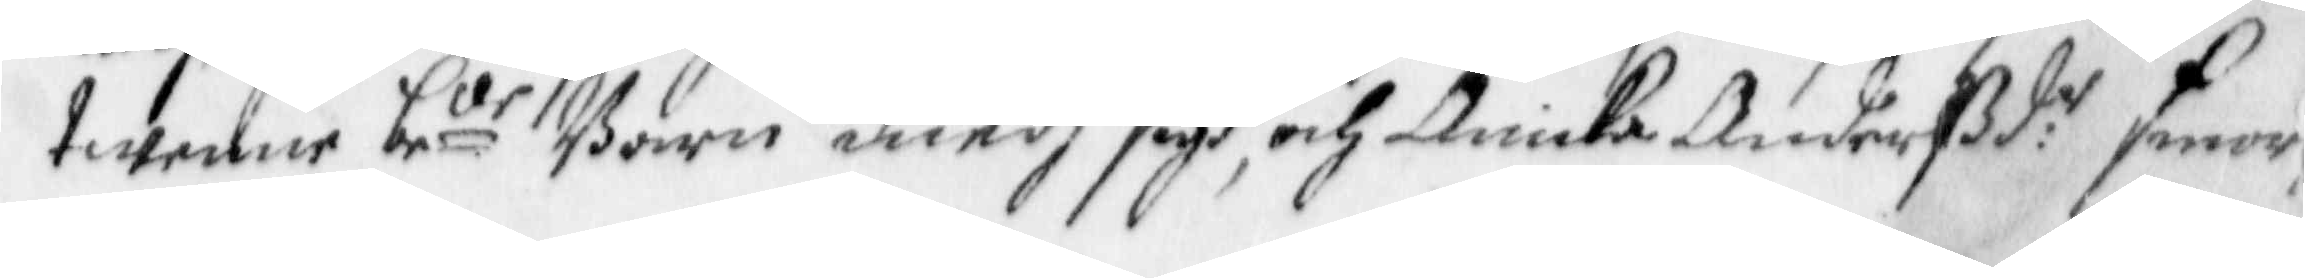twenne be.de Barn medh sigh, och Anika Andersd.r smor
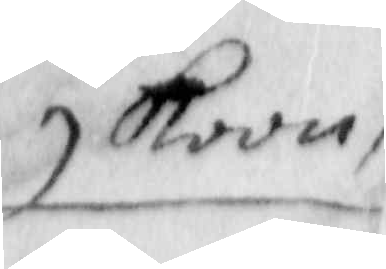Koon,
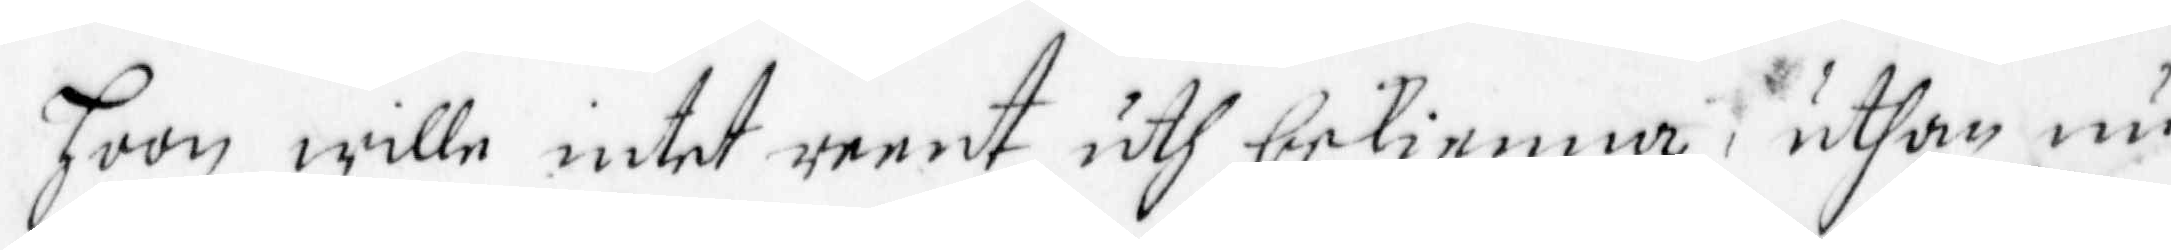hoon wille intet reent uth bekienna, uthan nu
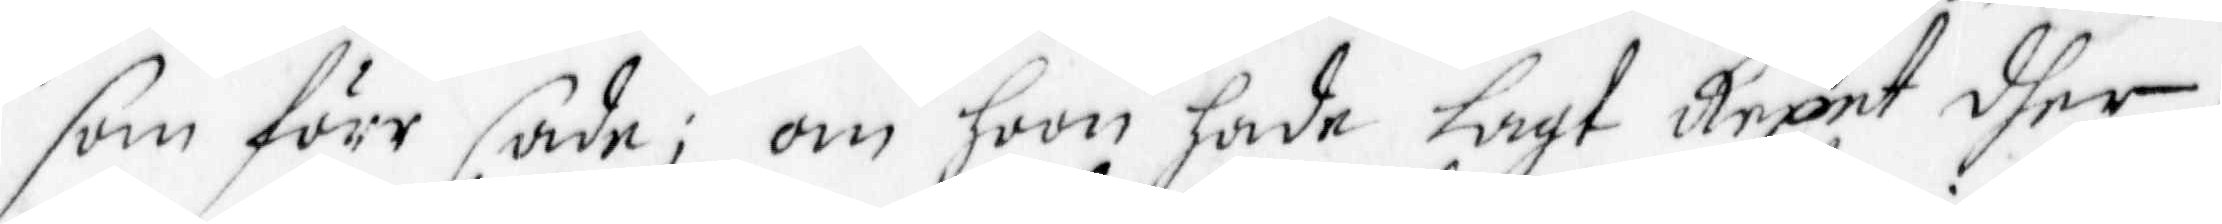som förr sade; om hoon hade lagt Repet dher,
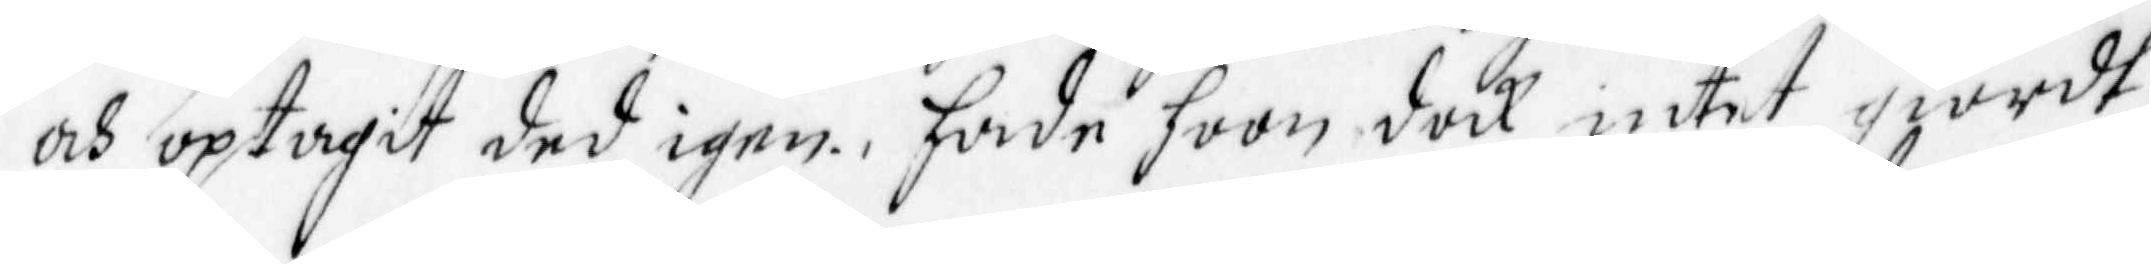och optagit ded igen, hade hoon dock intet giordt
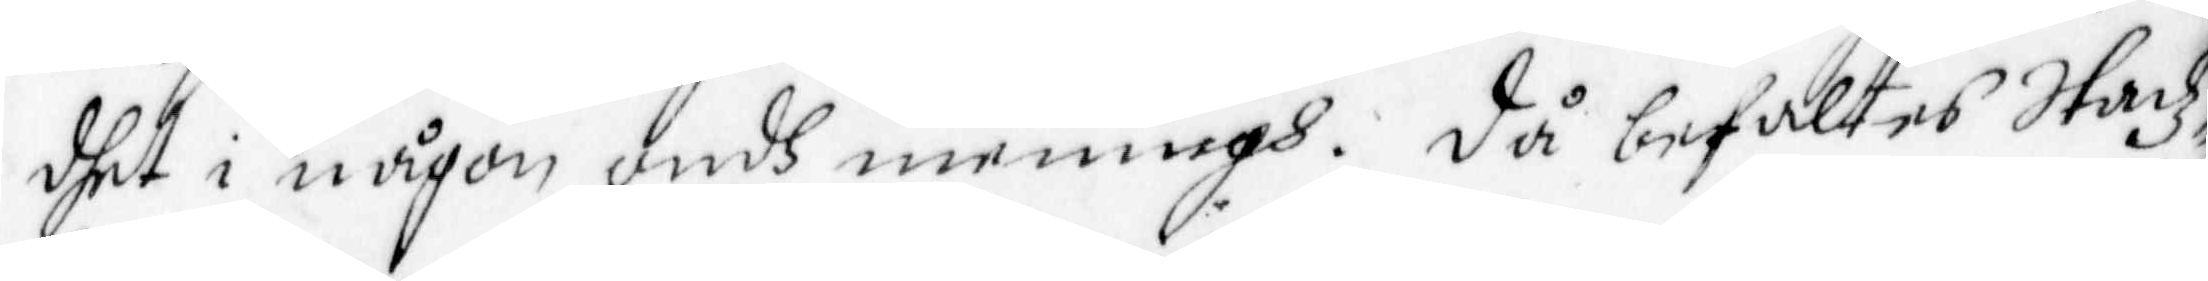dhet i någon ondh meningh. Då befaltes Stadz¬
